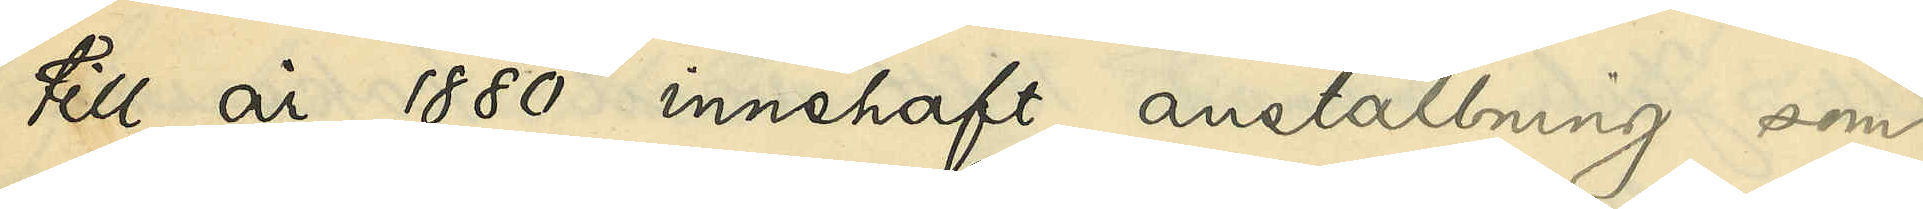till år 1880 innehaft anställning som
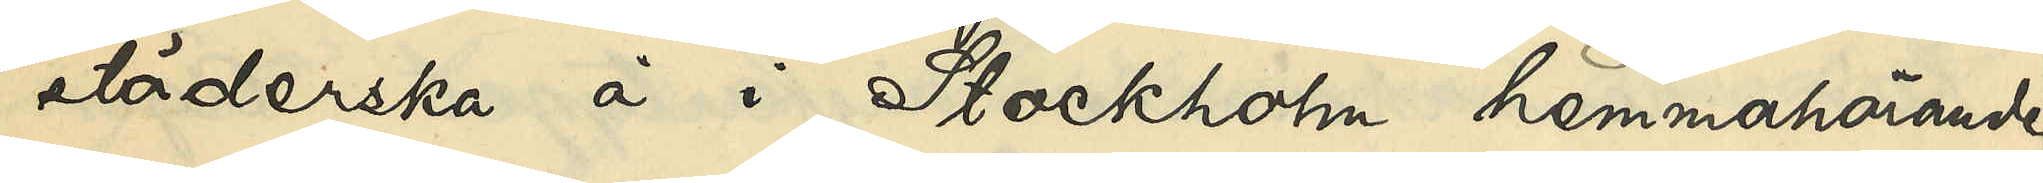städerska å i Stockholm hemmahörande
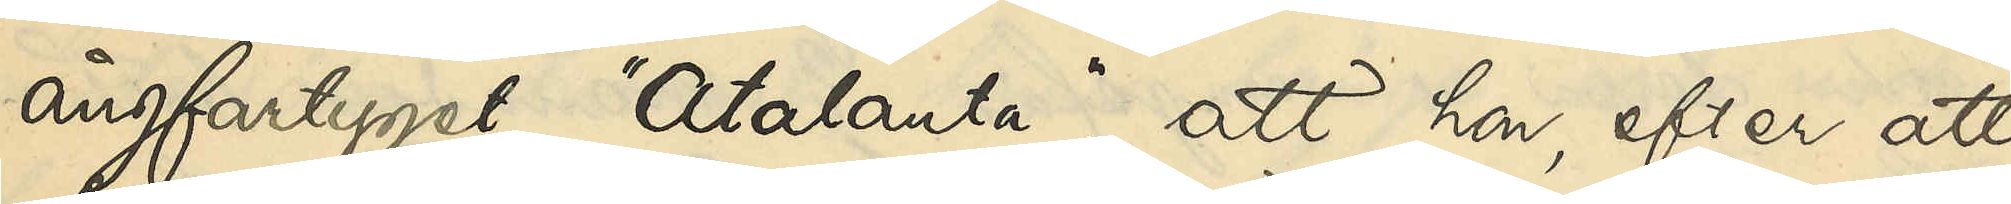ångfartyget "Atalanta"; att hon, efter att
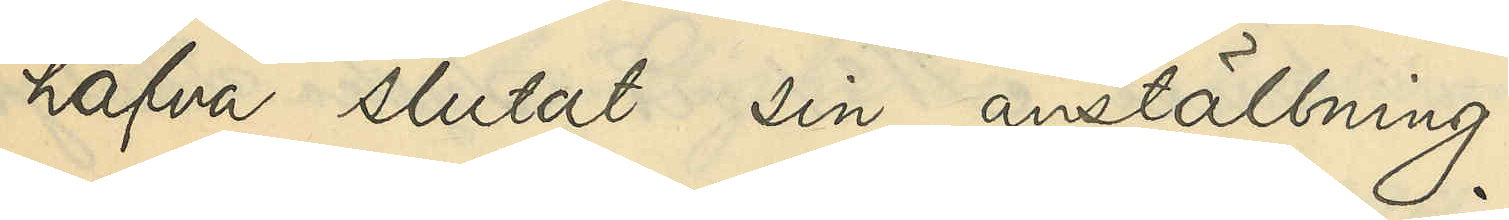hafva slutat sin anställning
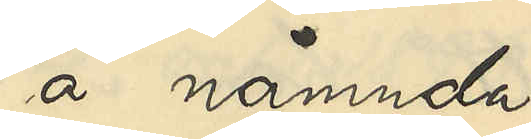å nämnda
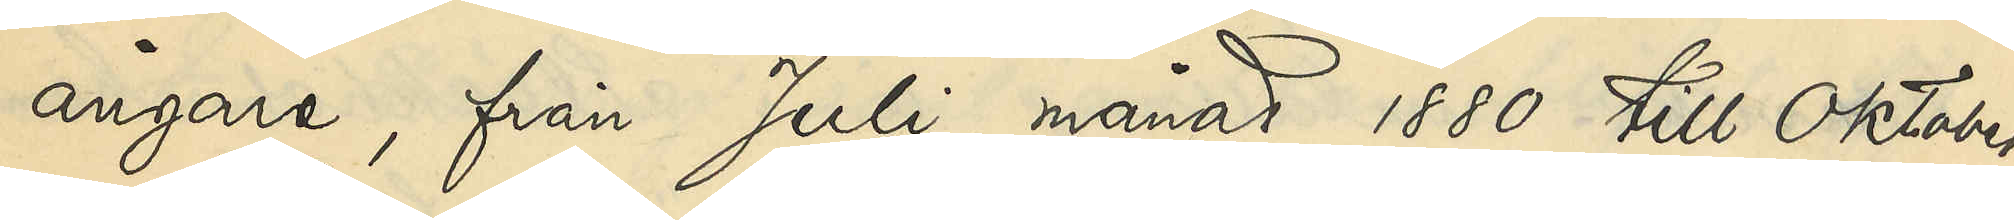ångare, från Juli månad 1880 till Oktober
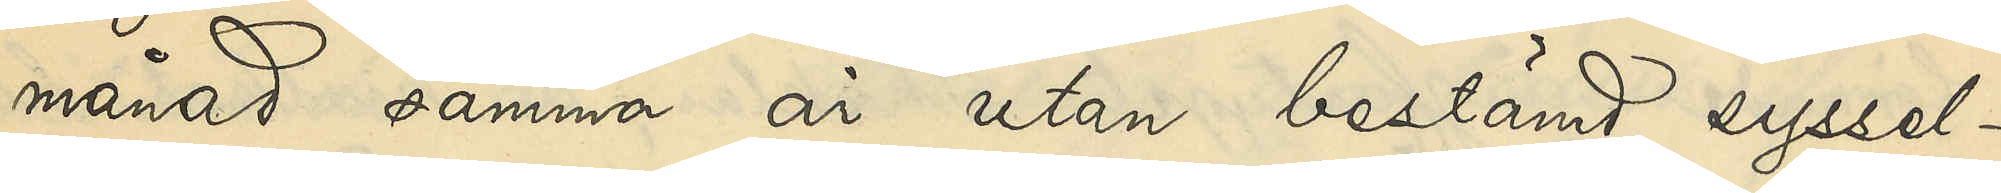månad samma år utan bestämd syssel¬
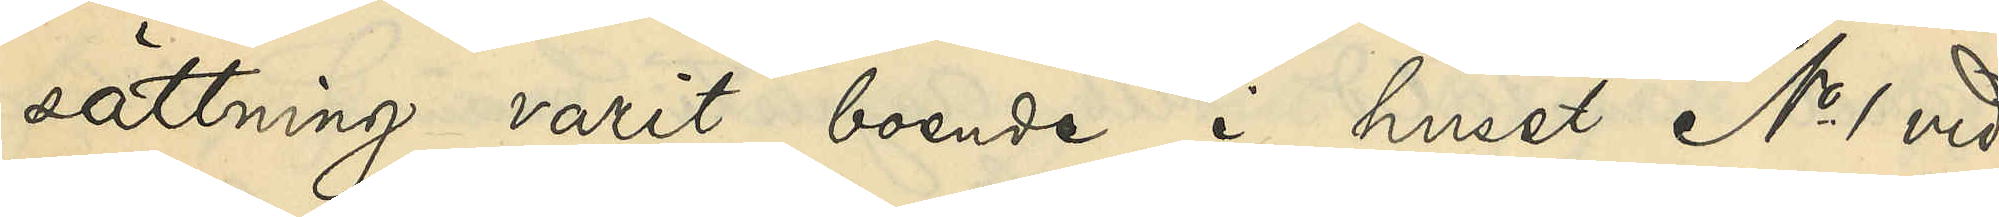sättning varit boende i huset No 1 vid
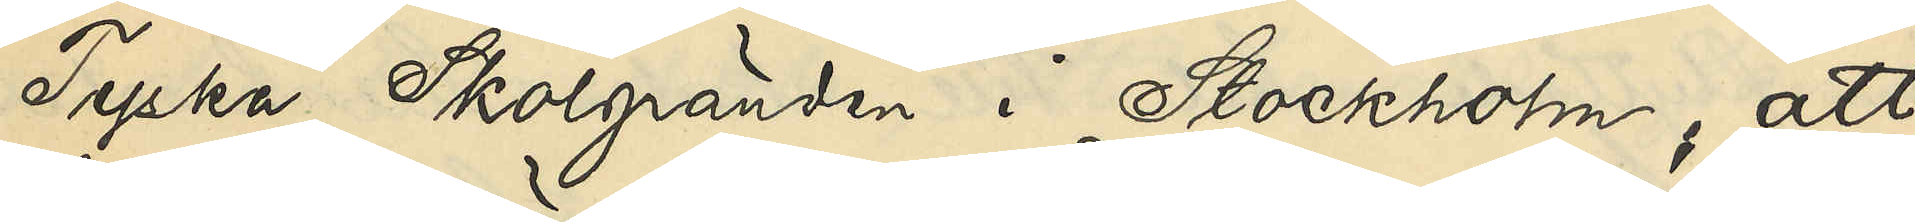Tyska Skolgränden i Stockholm, att
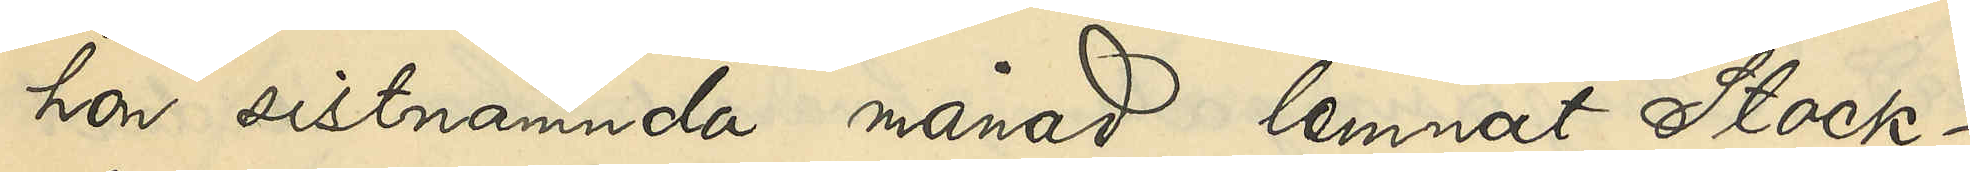hon sistnämnda månad lemnat Stock¬
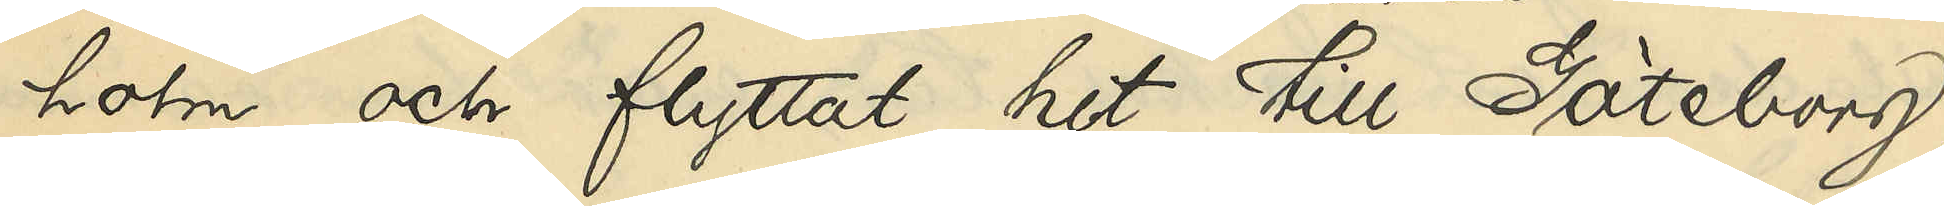holm och flyttat hit till Göteborg,
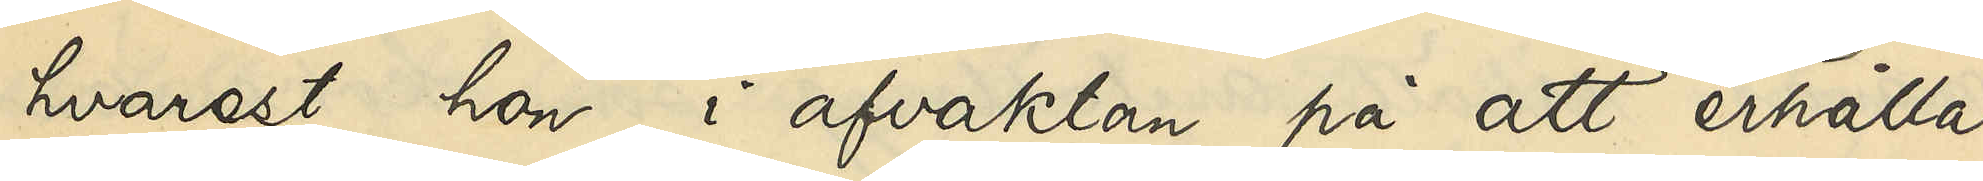hvarest hon, i afvaktan på att erhålla
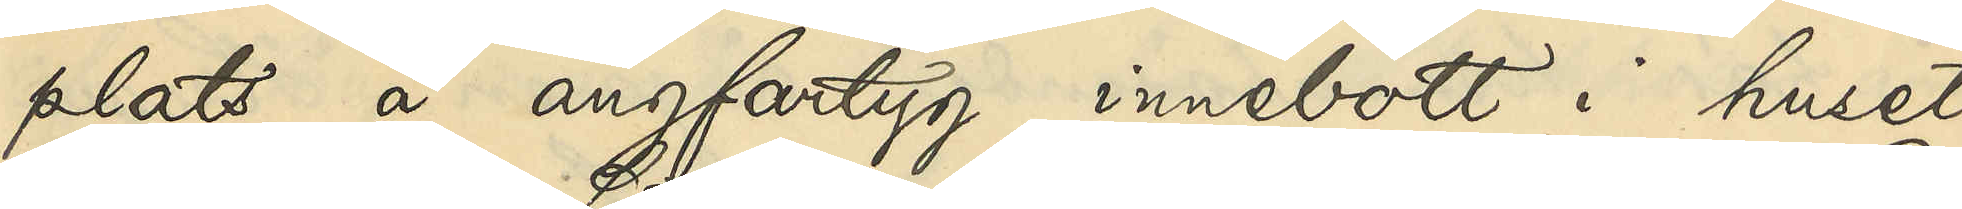plats å ångfartyg, innebott i huset
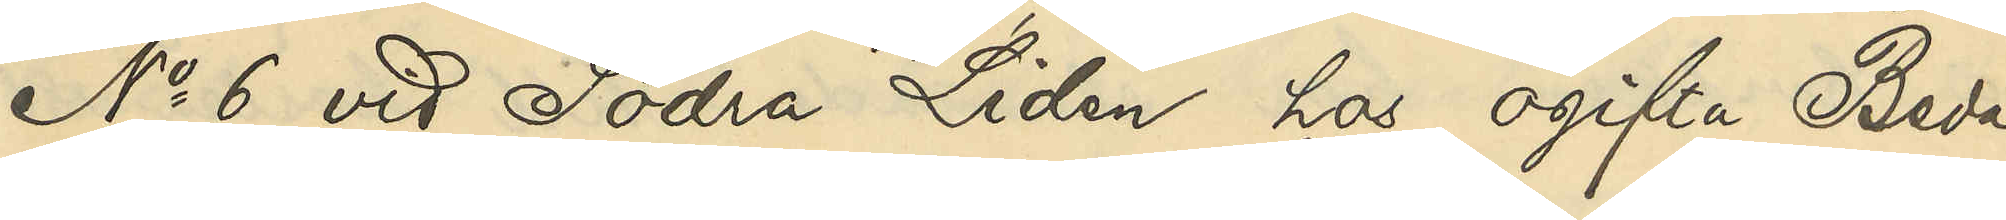No 6 vid Södra Liden hos ogifta Beda
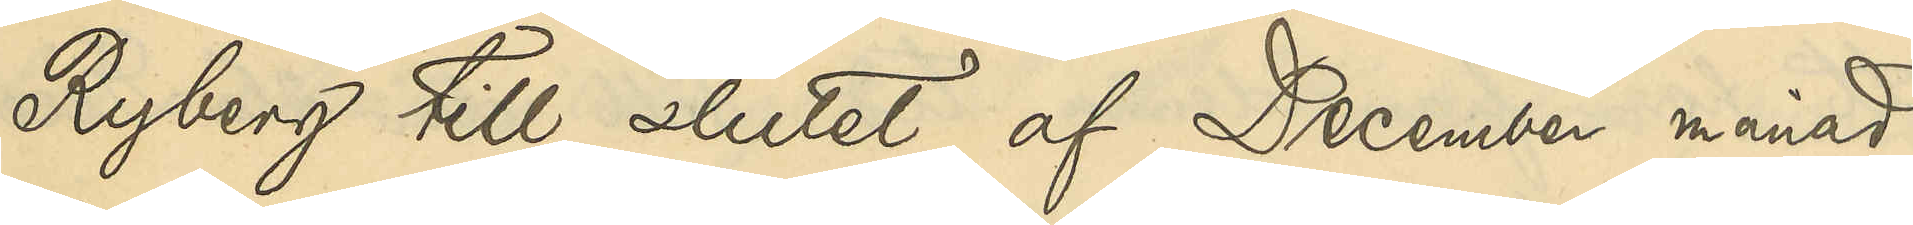Ryberg till slutet af December månad
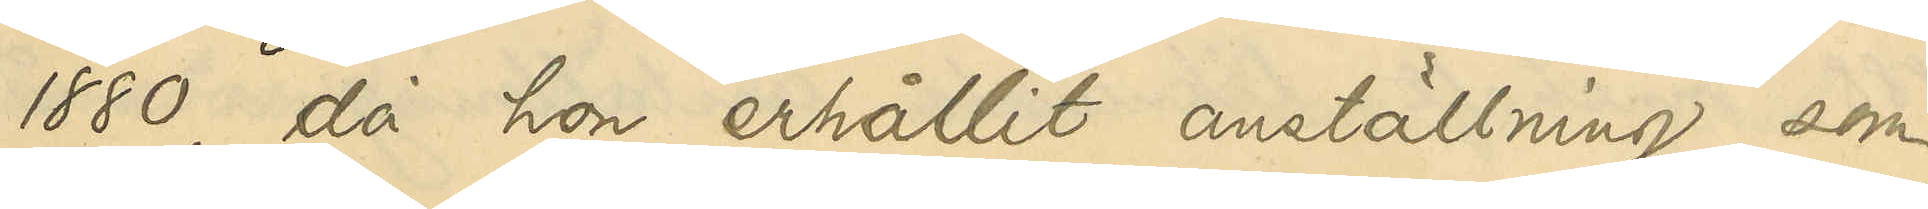1880, då hon erhållit anställning som
